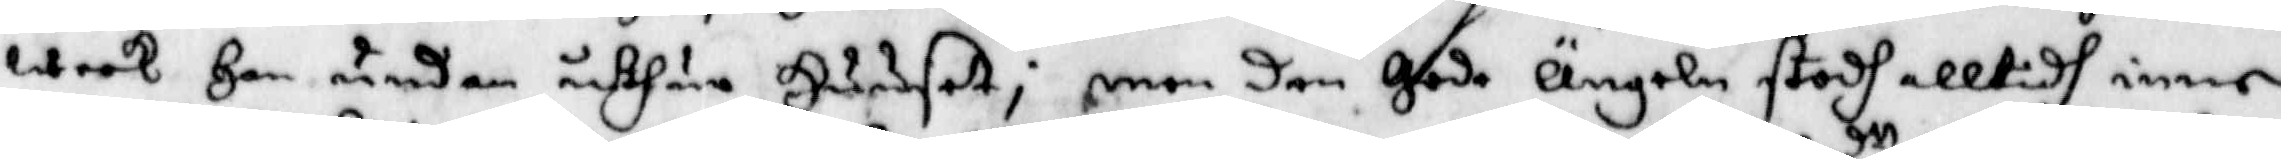week Han undan uthur Huusett; men den Gode Ängeln stodh alltidh inne¬
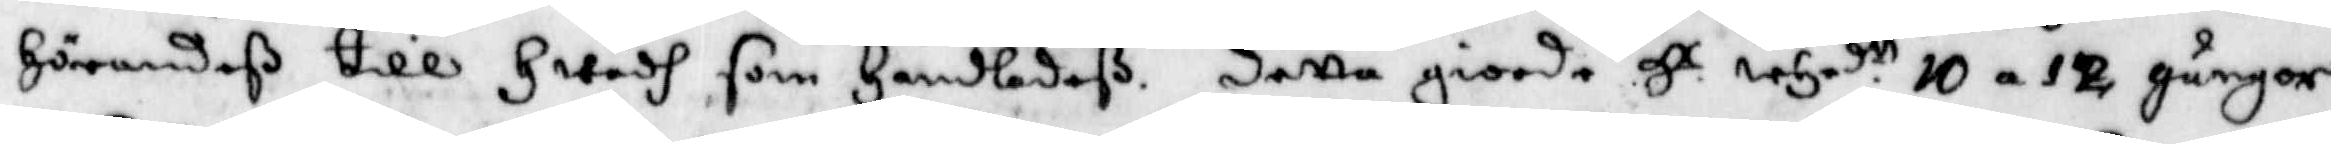hörandeß till Hwadh som Handladeß. detta giorde Hr whrd.tt 10 a 12 gånger
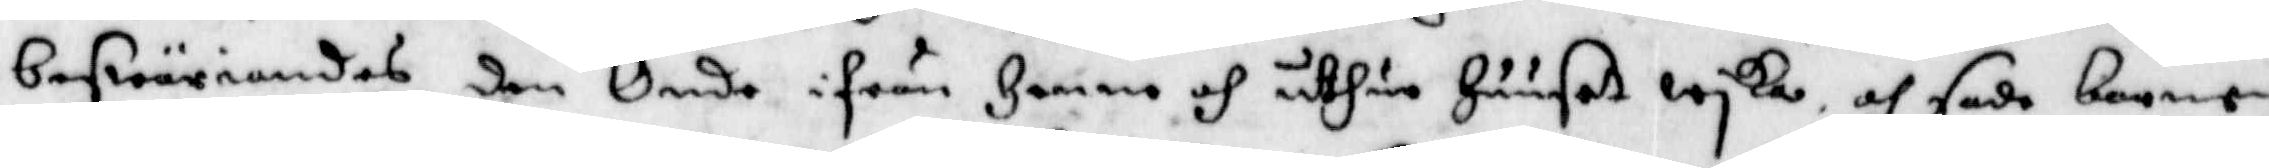beswäriandes den Onde ifrån Henne och uthur Huuset wyka. och sade barnen
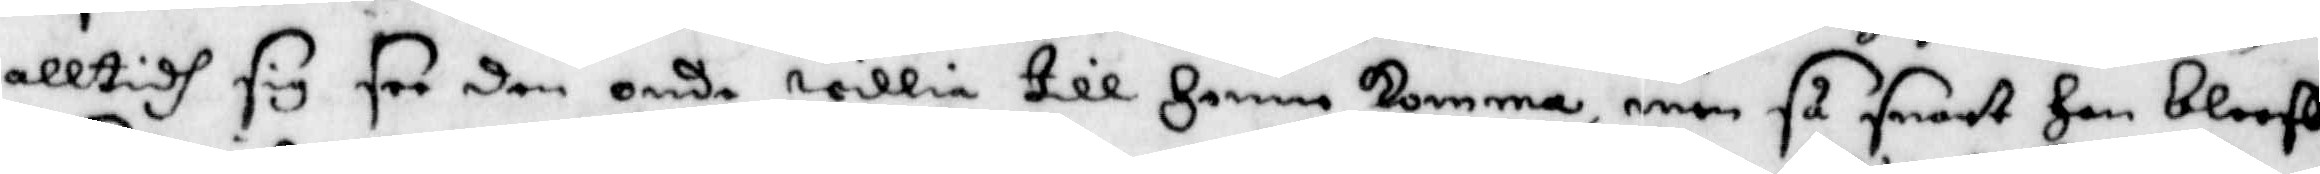alltidh sig see den onde willia till Henne komma, men så snart Han bleeff
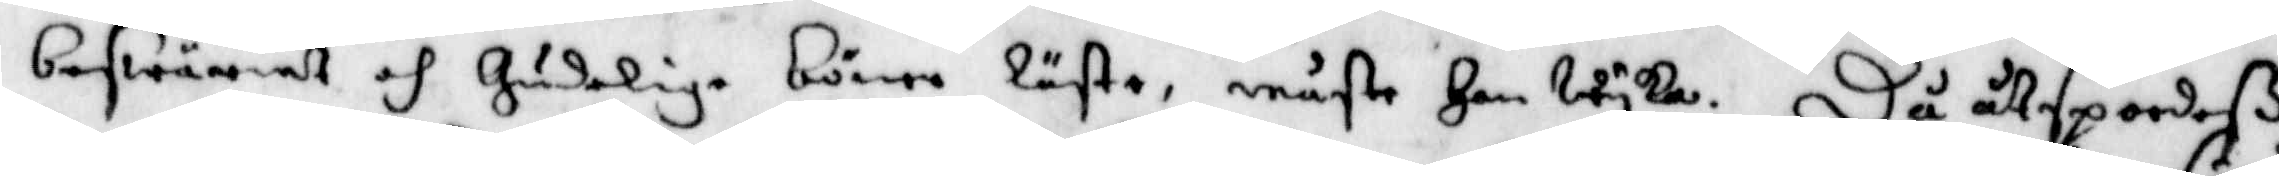beswäriat och Gudelige böner läste, måste Han wyka. Då åtspordeß
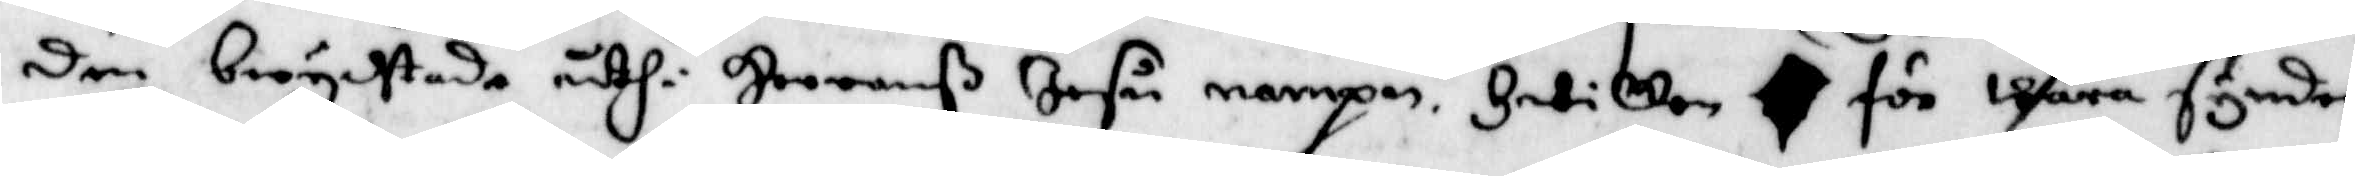den berychtade uthi Herranß Jesu nampn. Hwilken för wåra synder
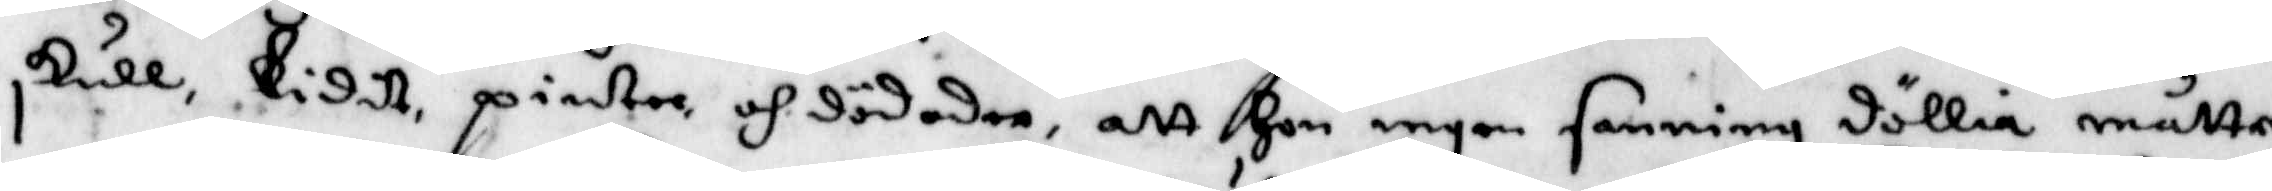skullLidit pinter och dödder, att Hon ingen sanning döllia måtte
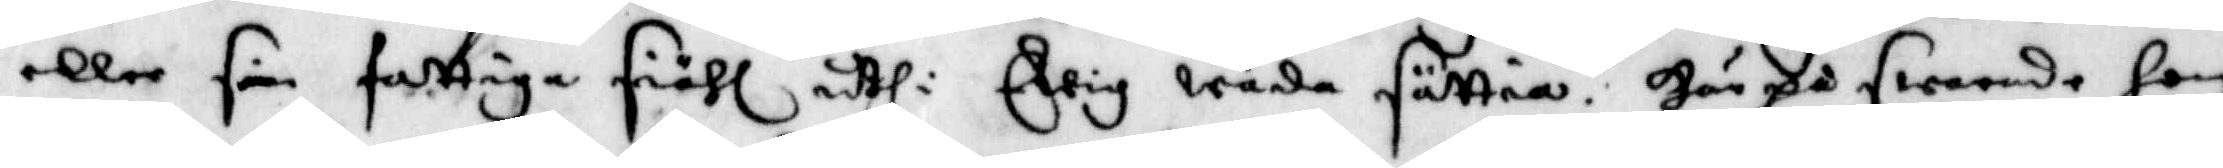eller sin fattiga siähl uthi Ewig wåda sättia. Här på swarade hon
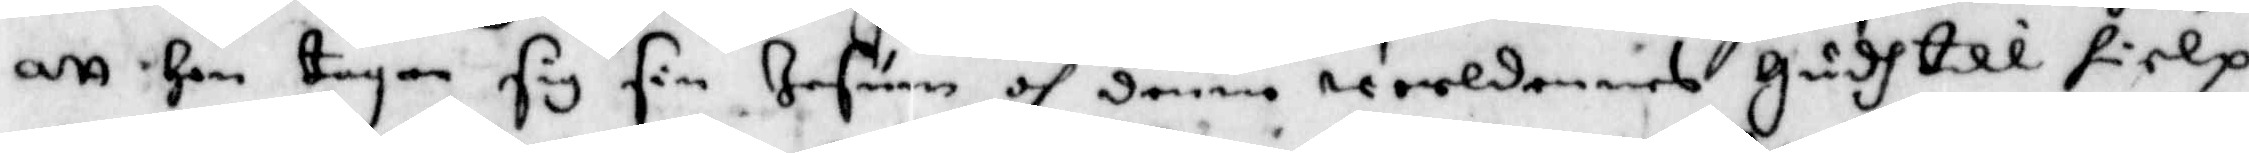att Hon tagen sig sin Jesum och denne werldenes Gudh till hielp
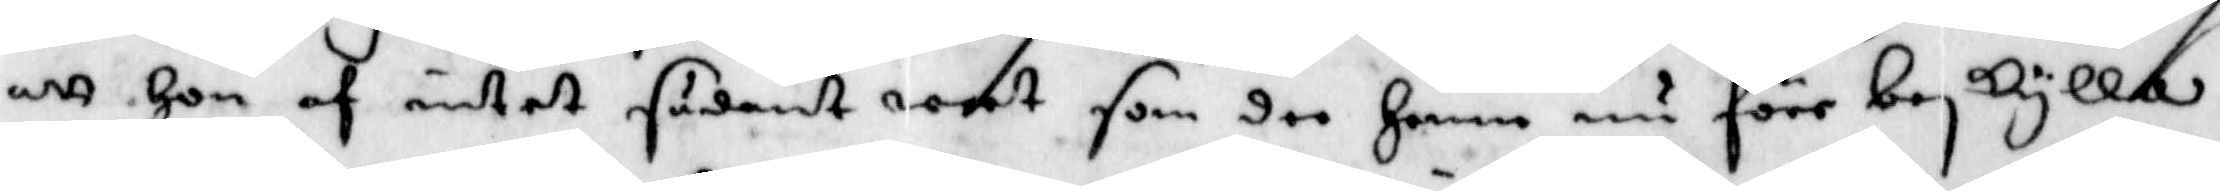att Hon af intet sådant weet som dee Henne nu förr beskylla.
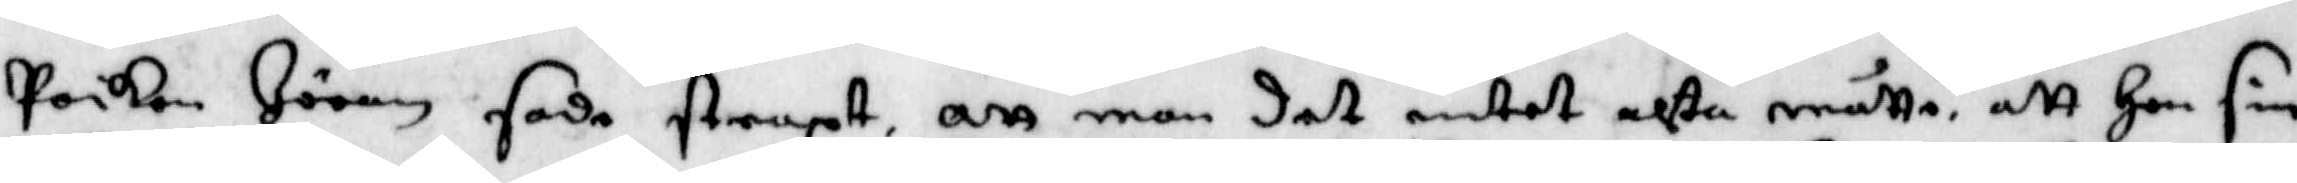poiken Jöran sade straxt att man det intet ahta måtte, att Hon sin
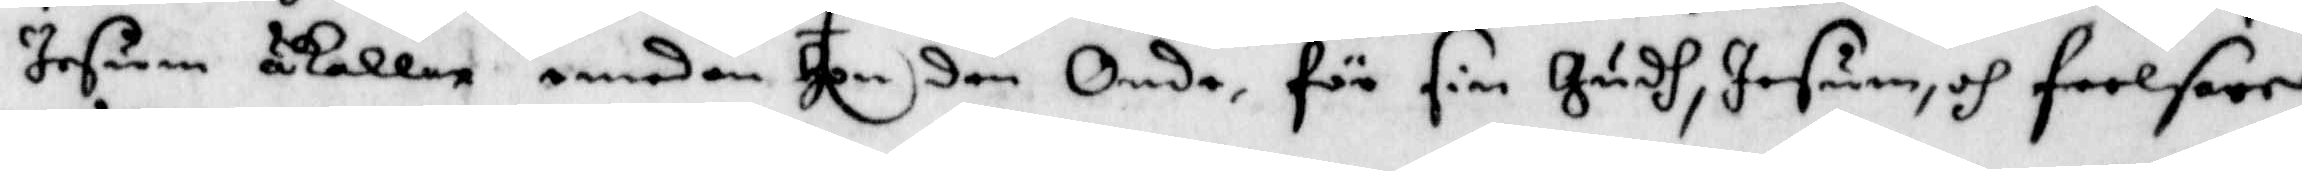Jesum åkallar emedan Hon den Onde för sin Gudh, Jesum, och Frelsare
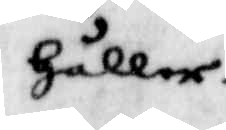Håller.
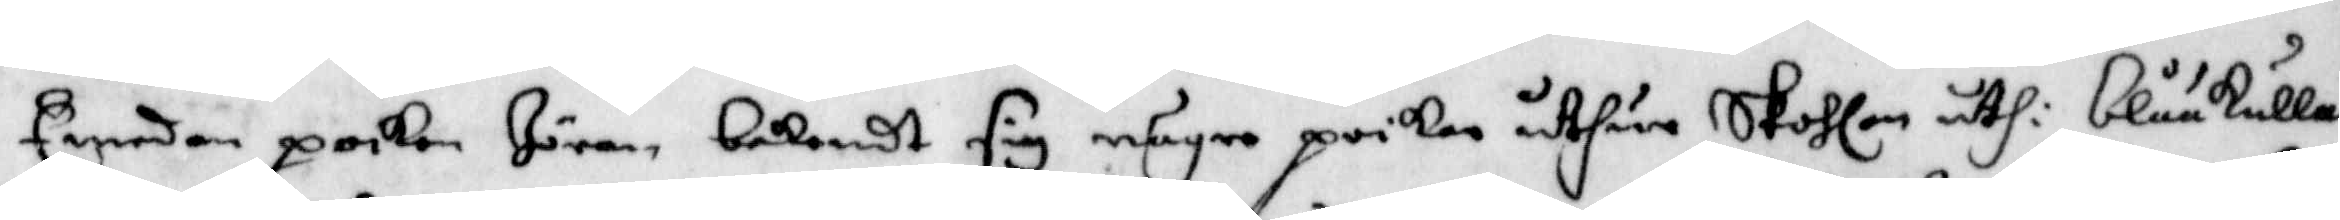Emedan poiken Jöran bekendt sig några poikar uthur Skohlan uthi blåkulla
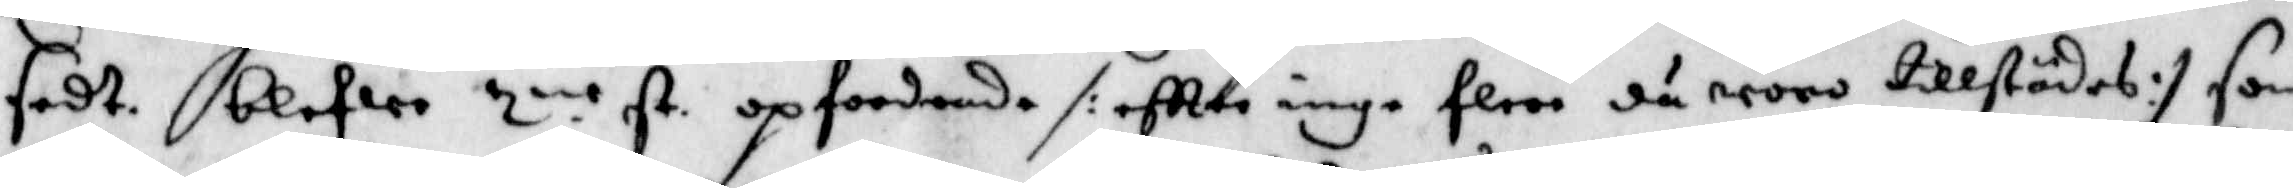sedt blefwe 2.ne st. opfordrade /:eftter inga flera då woro tillstädes:/ som
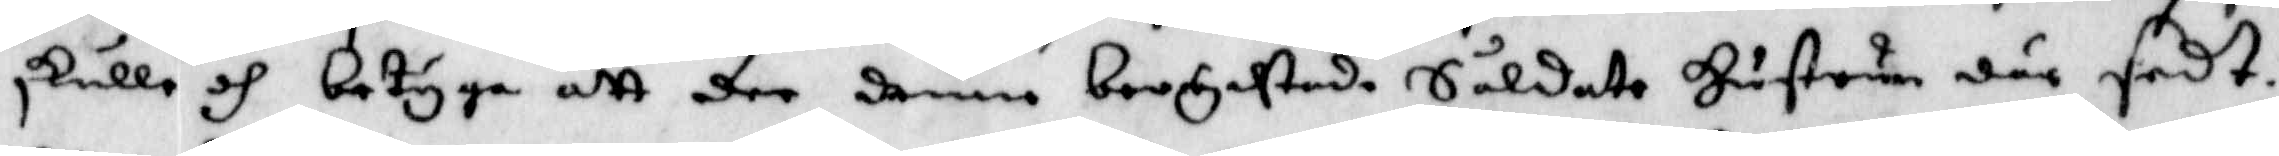skulle och betyga att dee denne berychtade Soldat Hustrun där sedt.
